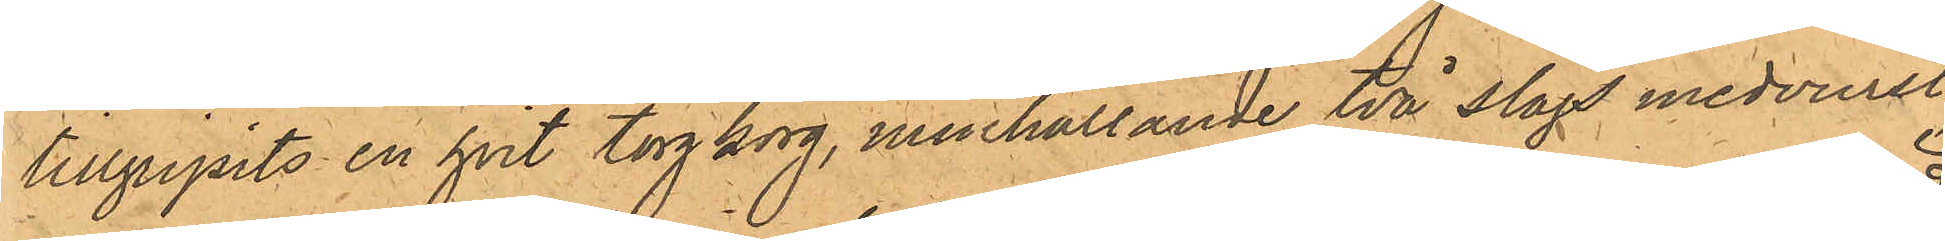tillgripits en hvit torgkorg, innehållande två slags medvurst,
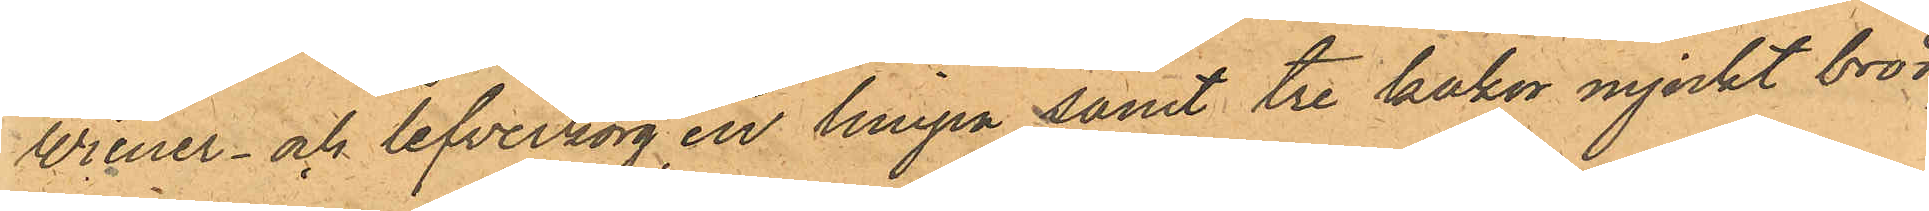Wiener- och lefverkorg, en limpa samt tre kakor mjukt bröd
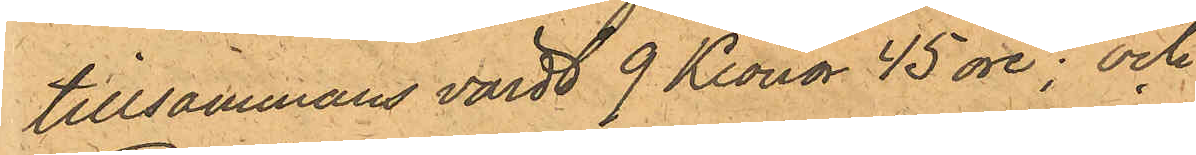tillsammans värdt 9 Kronor 45 öre; och
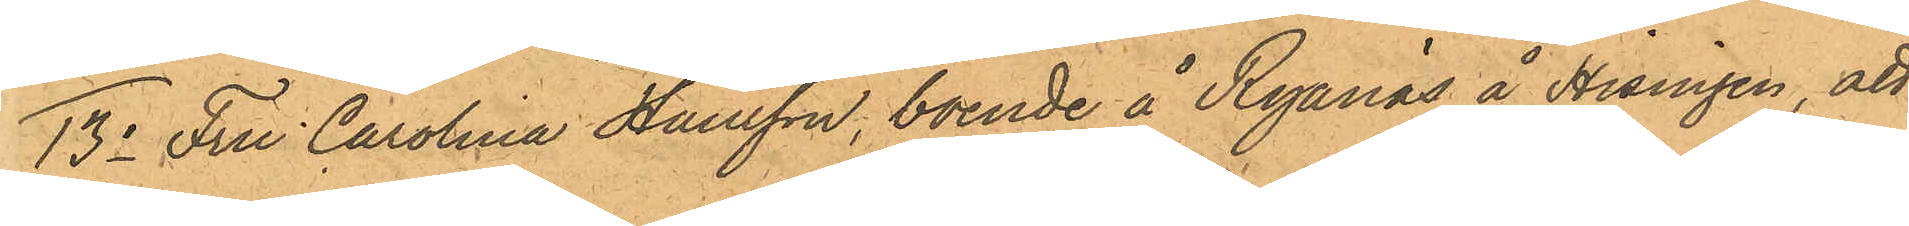13o Fru Carolina Hansson, boende å Ryanäs å Hisingen, att
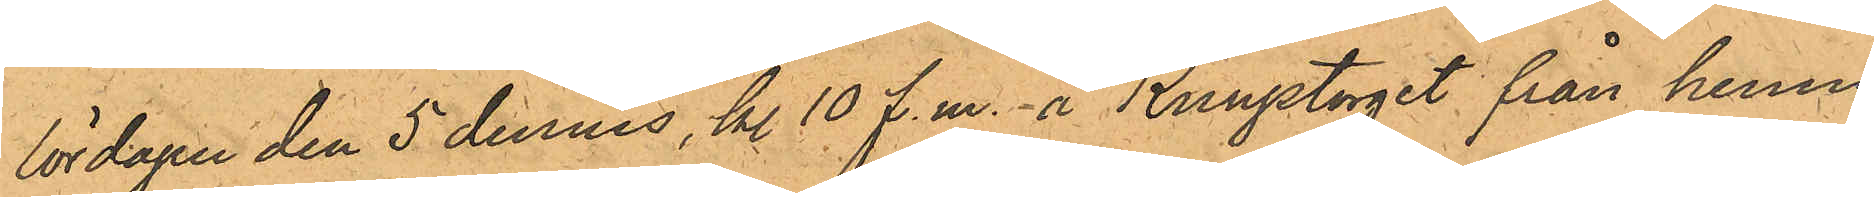lördagen den 5 dennes, kl. 10 f.m. å Kungstorget från henne
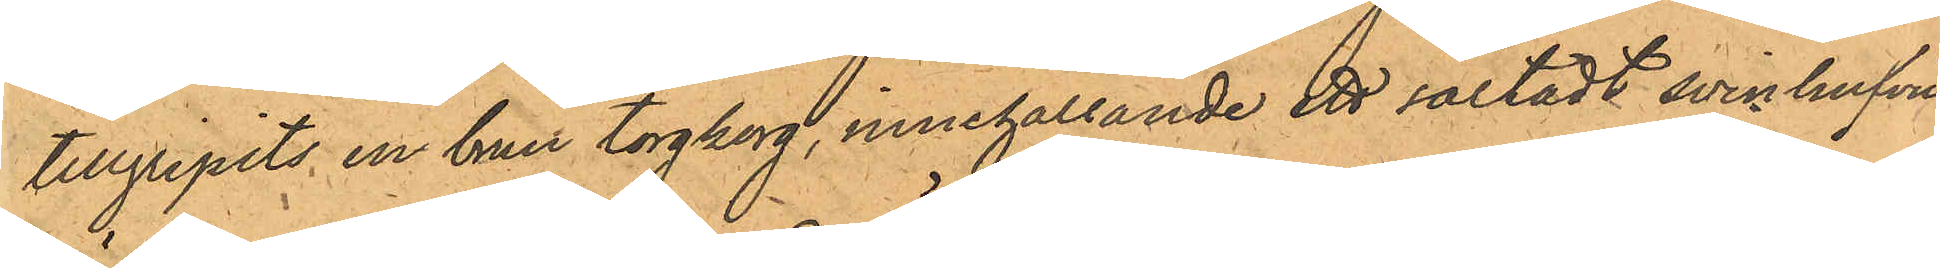tillgripits en brun torgkorg, innehållande ett saltadt svinhufvud,
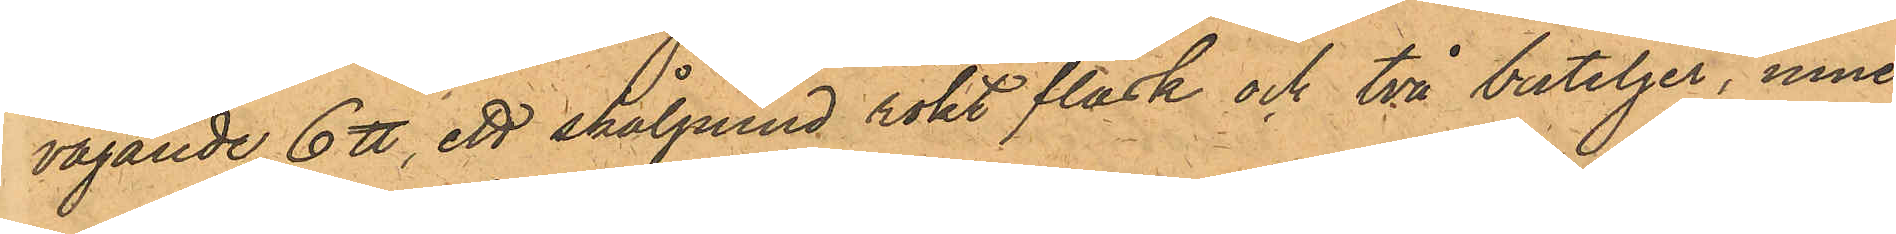vägande 6 ℔, ett skålpund rökt fläsk och två buteljer, inne¬
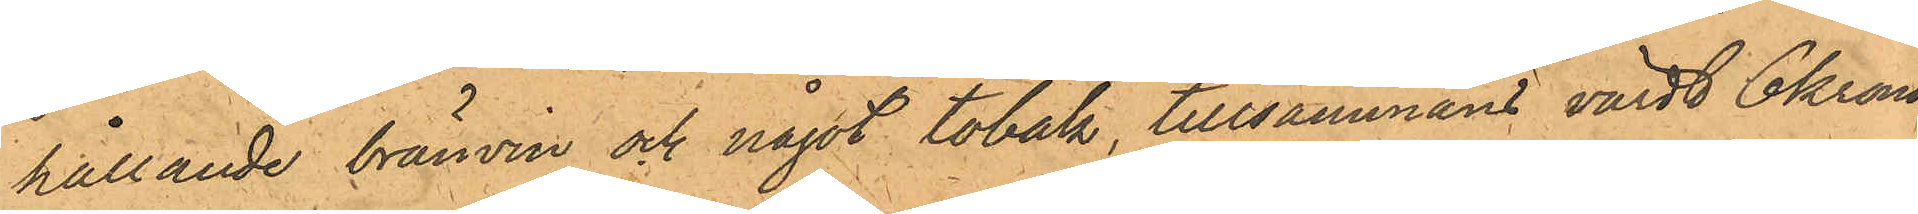hållande bränvin och något tobak, tillsammans värdt 6 kronor
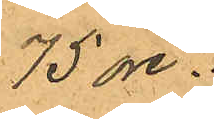75 öre.
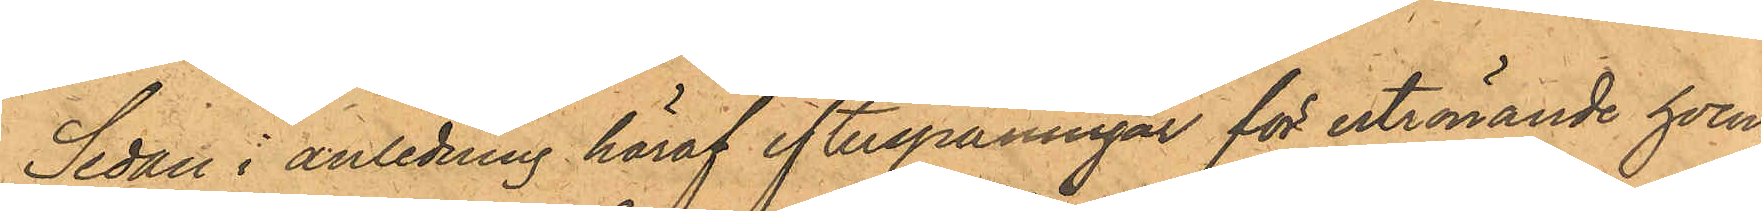Sedan i anledning häraf efterspaningar för utrönande hvem¬
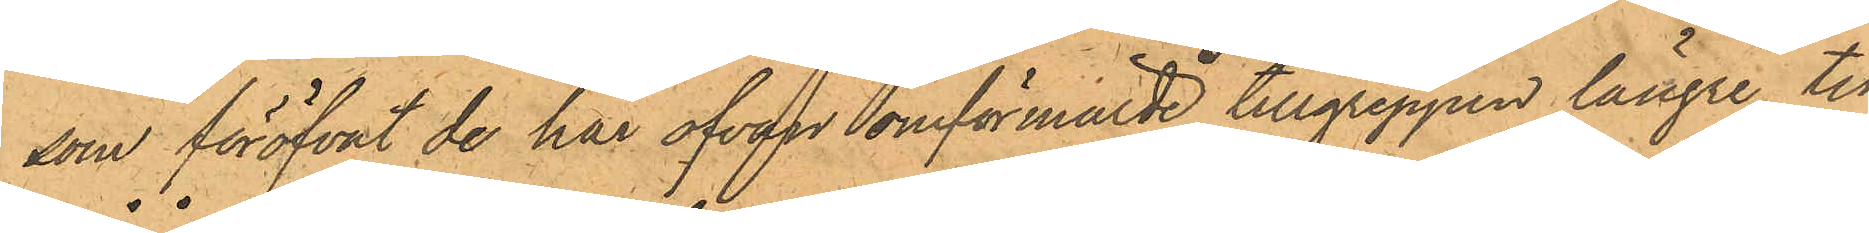som föröfvat de här ofvan somförmälde tillgreppen längre tid
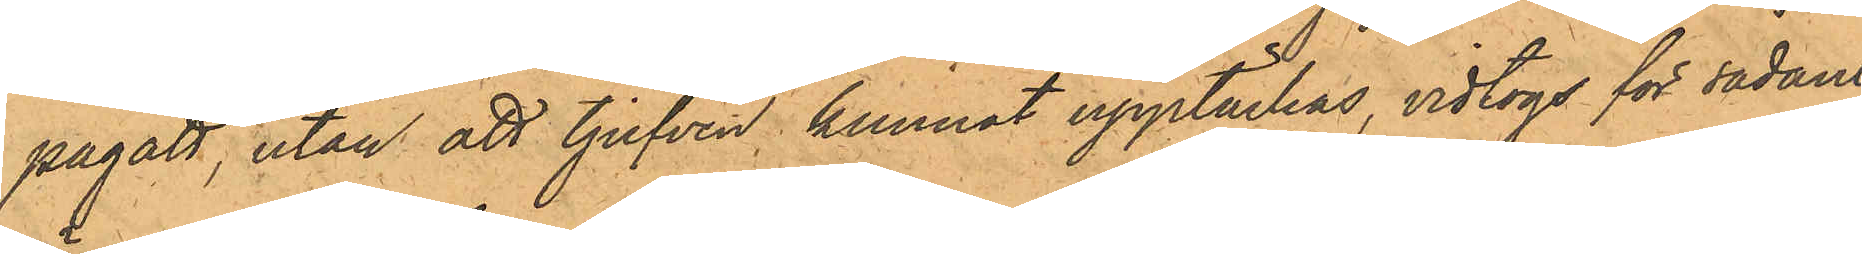pågått, utan att tjufven kunnat upptäckas, vidtogs för sådant
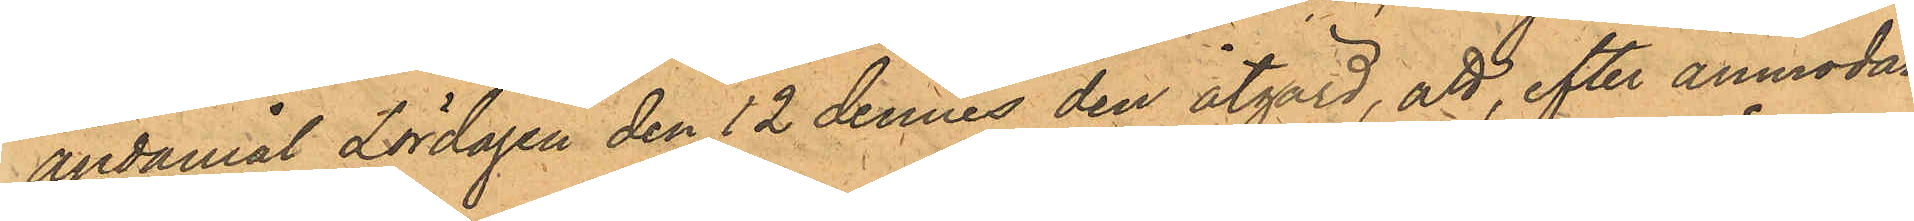ändamål Lördagen den 12 dennes den åtgärd, att, efter anmodan,
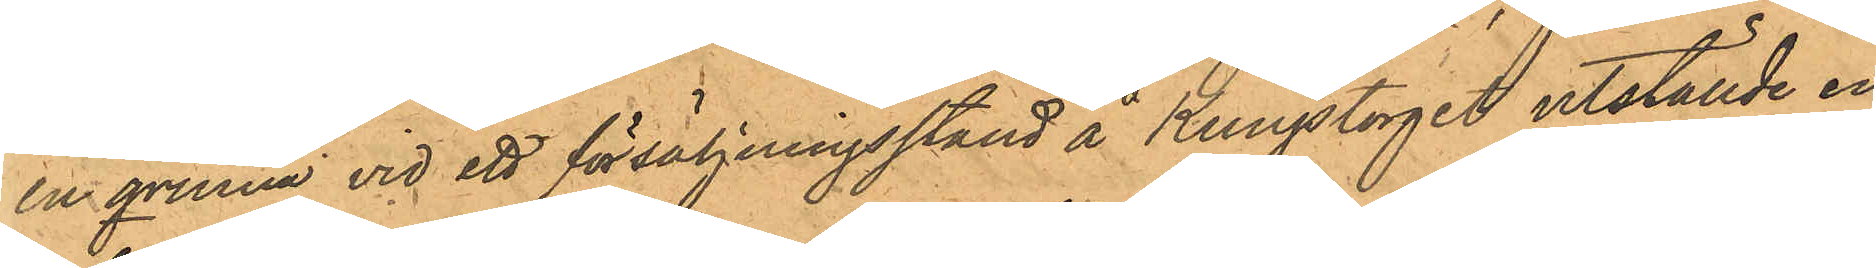en qvinna vid ett försäljningsståld å Kungstorget utställde en
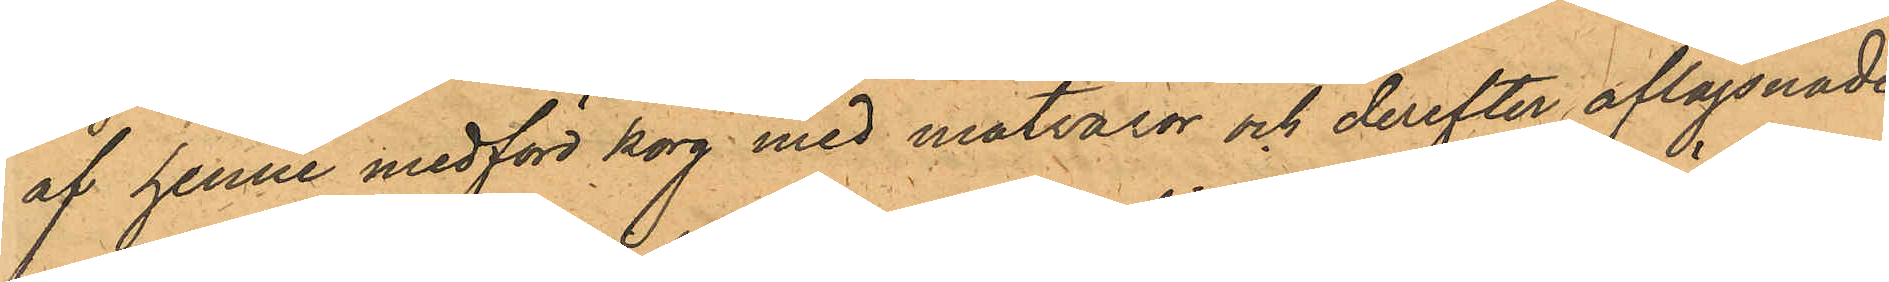af henne medförd korg med matvaror och derefter aflägsnade
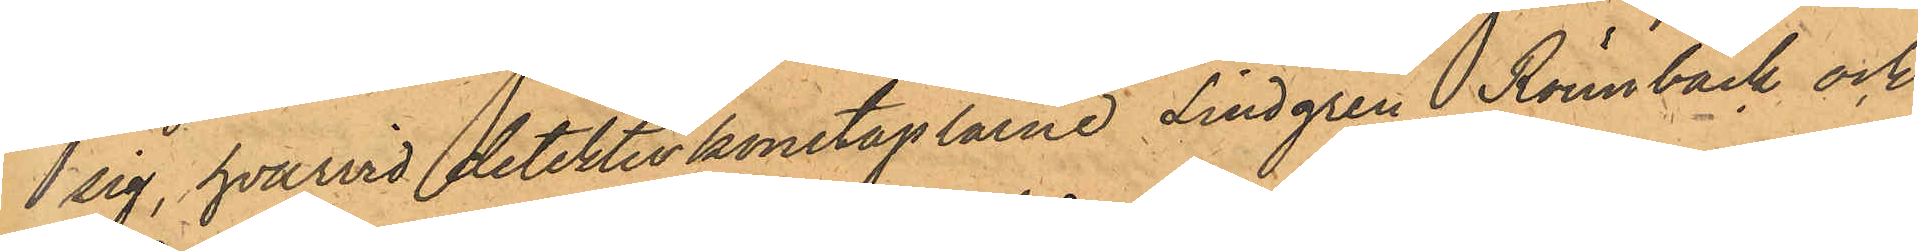 sig, hvarvid detektivkonstaplarne Lindgren, Rönnbäck och
